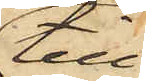till
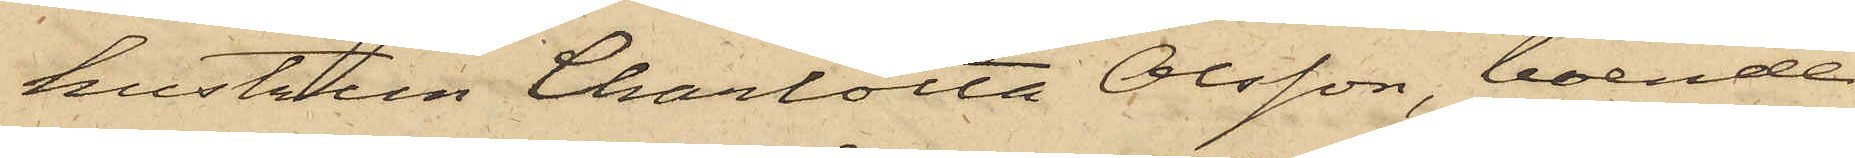hustrun Charlotta Olsson, boende
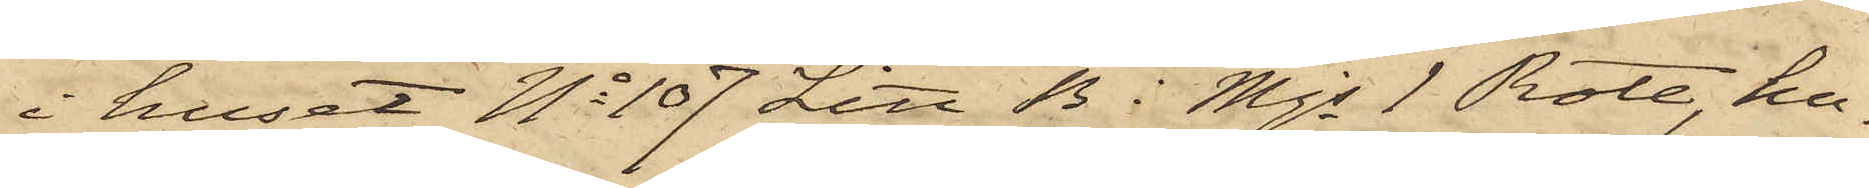i huset No 107 Litt B i Mjs 1 Rote, hu¬
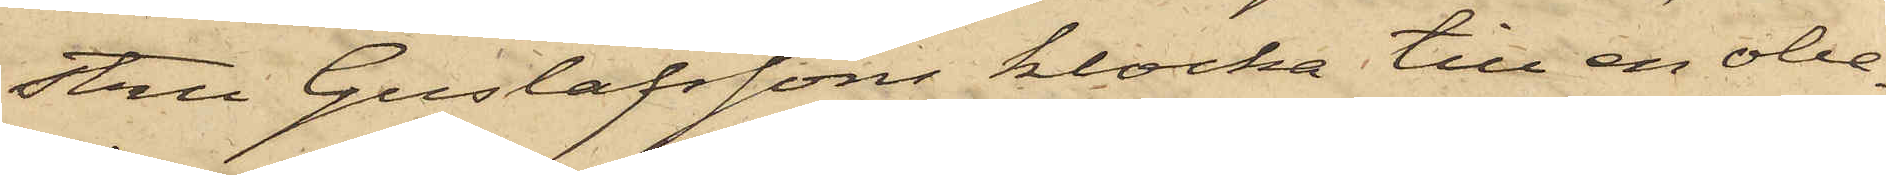stru Gustafssons klocka till en obe¬
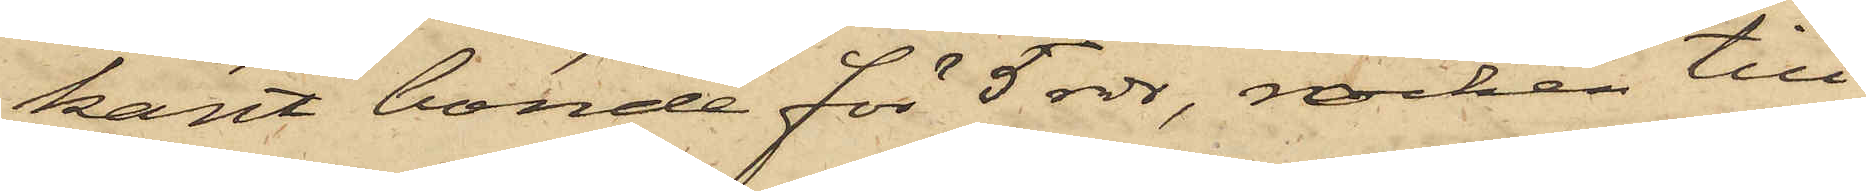kant bonde för 5 rdr, rocken till
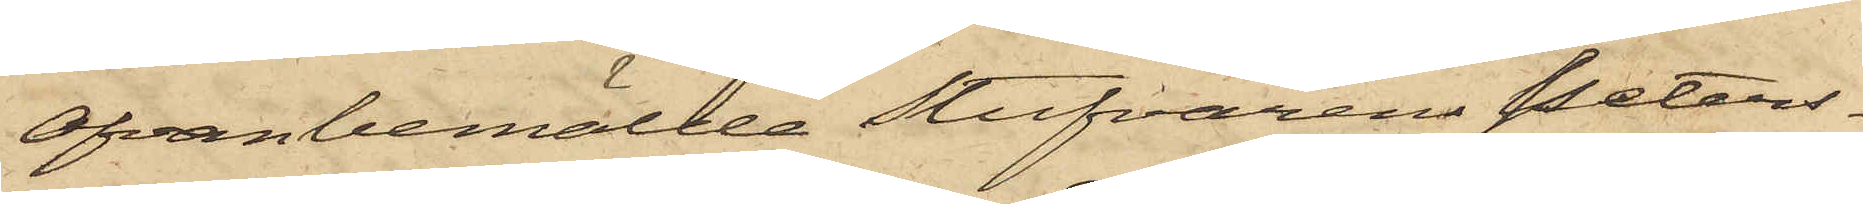ofvanbemälde Stufvaren Peters¬
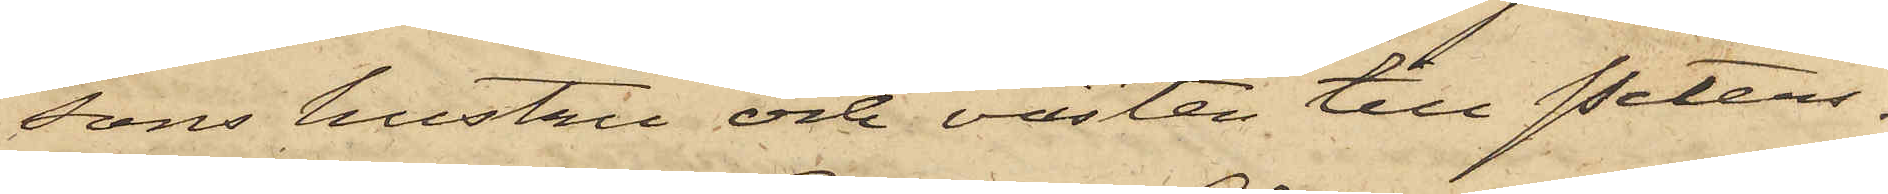sons hustru och västen till Peters¬
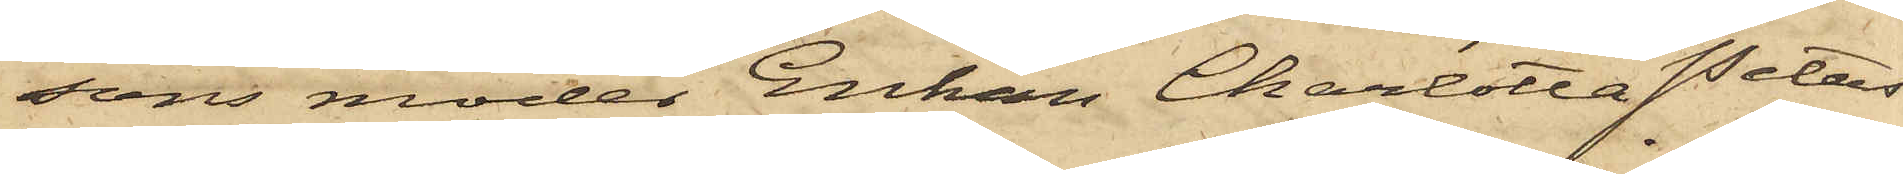sons moder Enkan Charlotta Peters¬
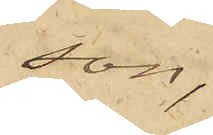son;
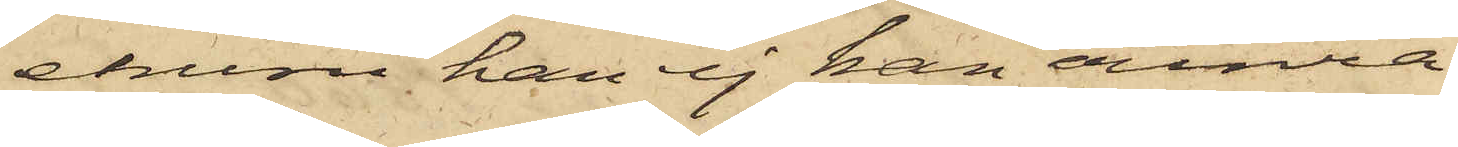ehuru han ej kan erinra
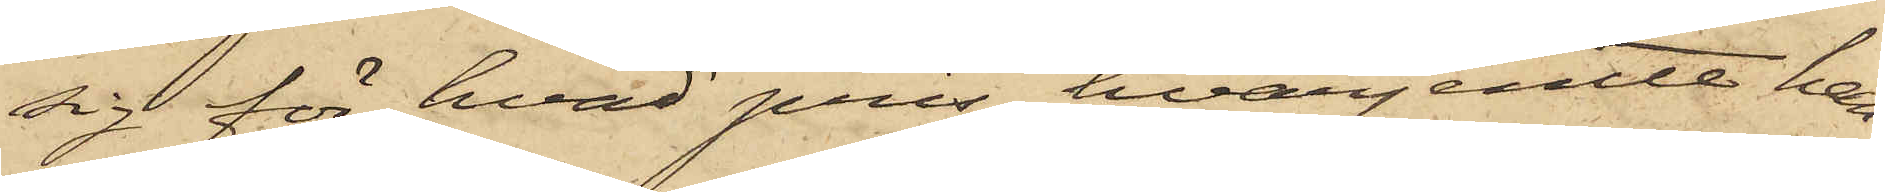sig för hvad pris, hvarjemte han
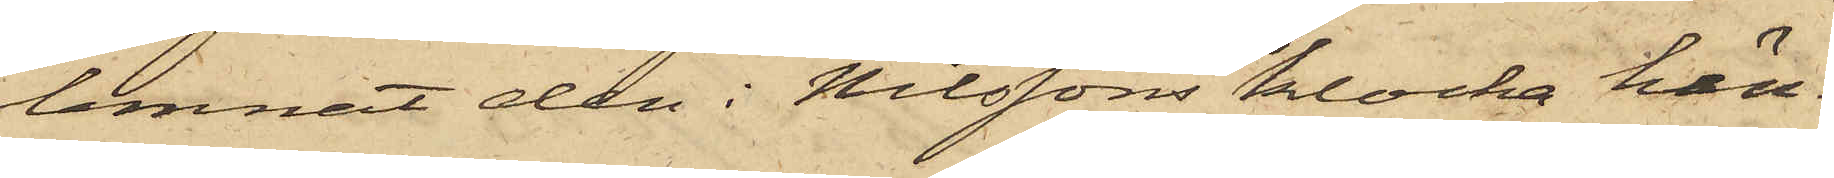lemnat den i Nilssons klocka hän¬
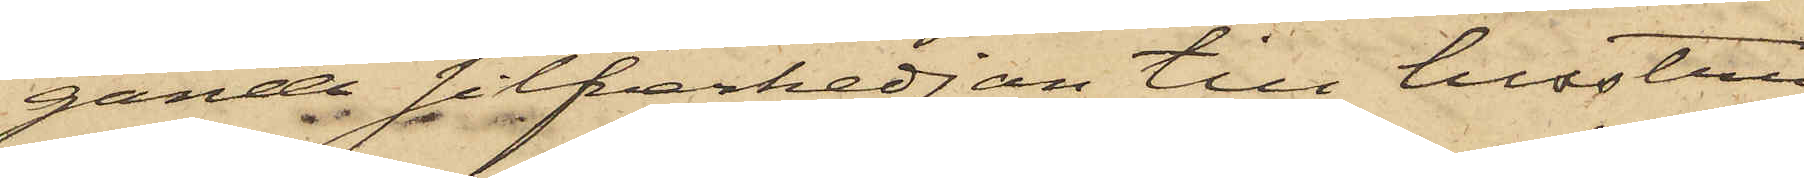gande silfverkedjan till hustru
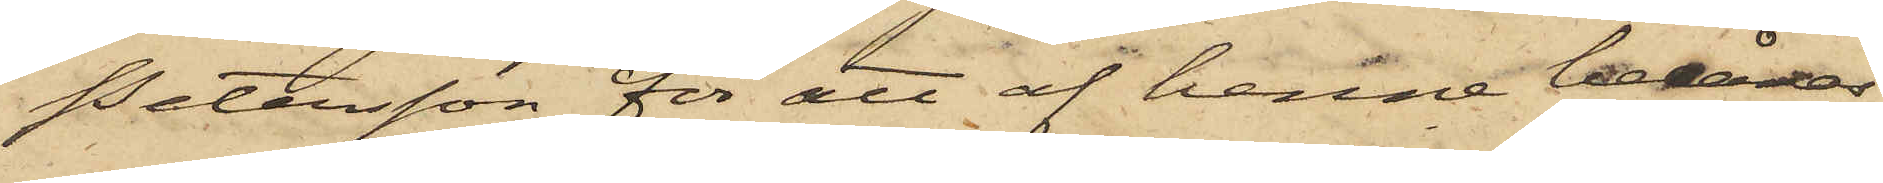Petersson för att af henne belånas,
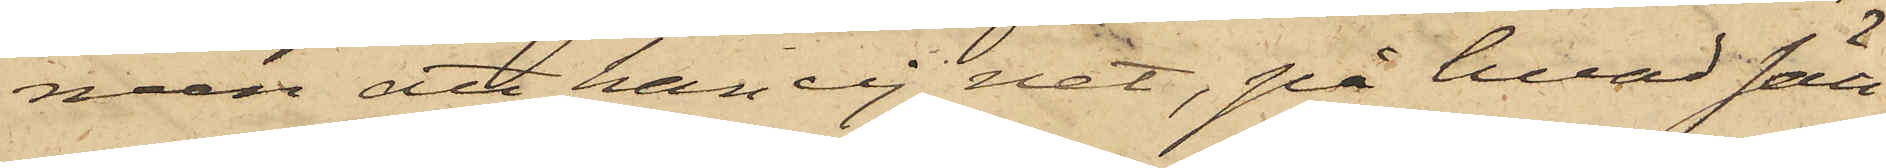men att han ej vet, på hvad sätt
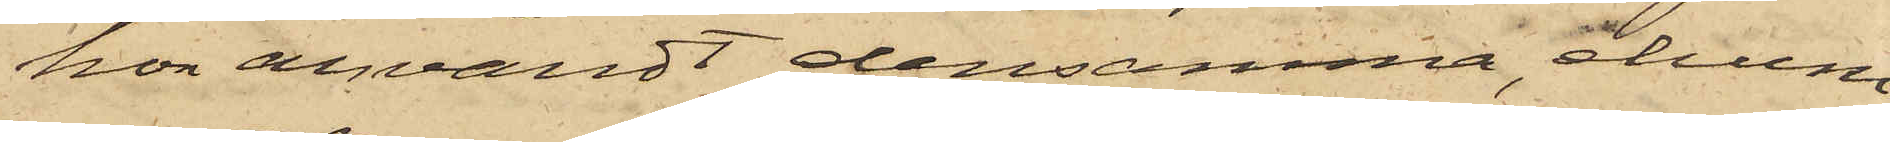hon användt densamma, ehuru
